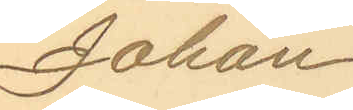Johan
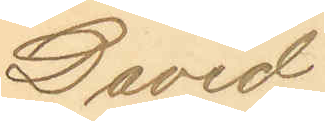David
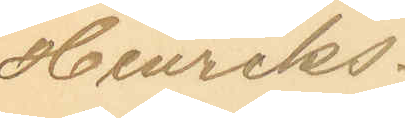Henriks¬
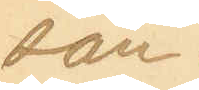son.
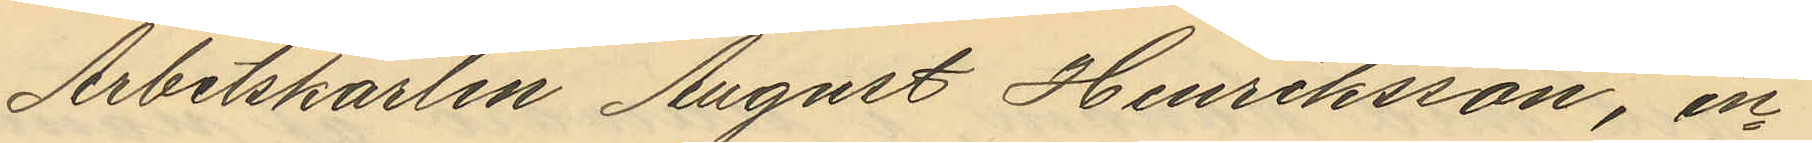Arbetskarlen August Henriksson, in¬
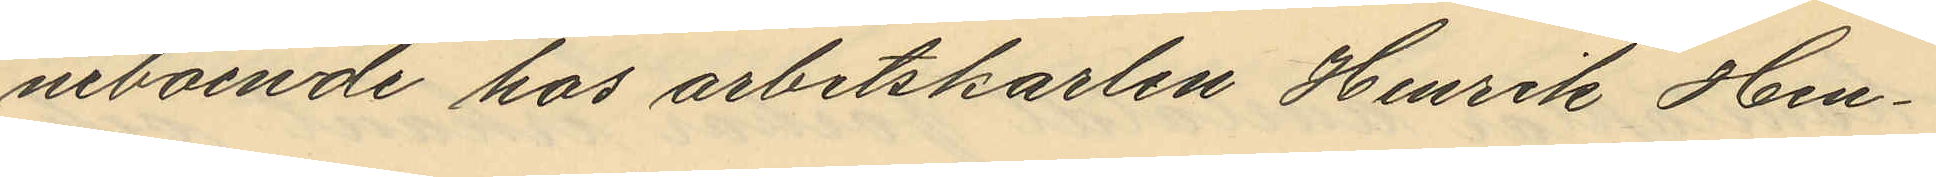neboende hos arbetskarlen Henrik Hen¬
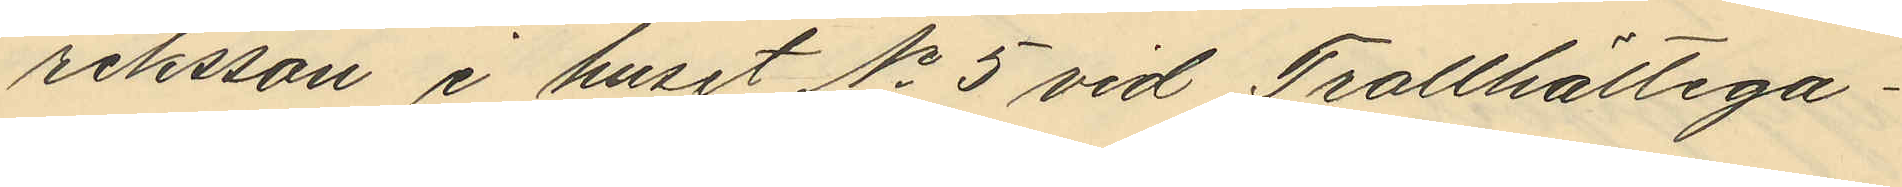riksson i huset No 5 vid Trollhättega¬
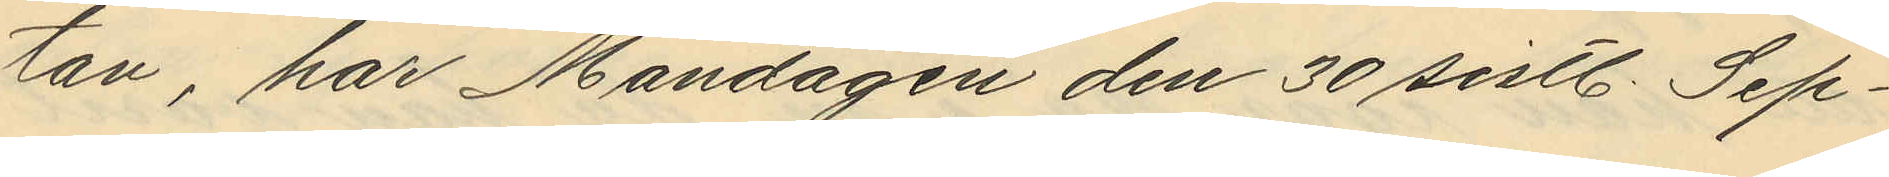tan, har Måndagen den 30 sistl. Sep¬
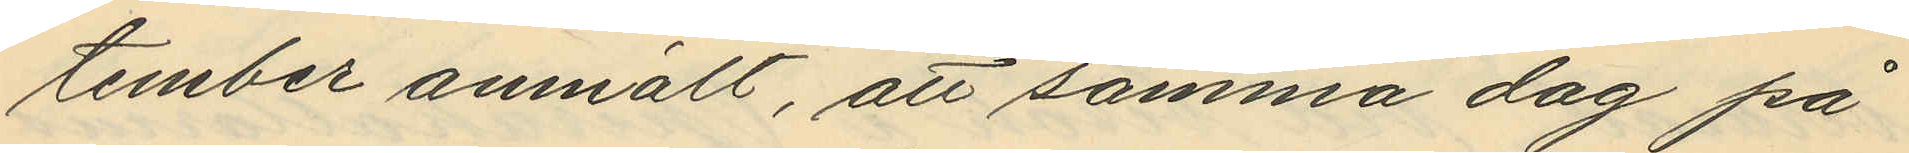tember anmält, att samma dag på
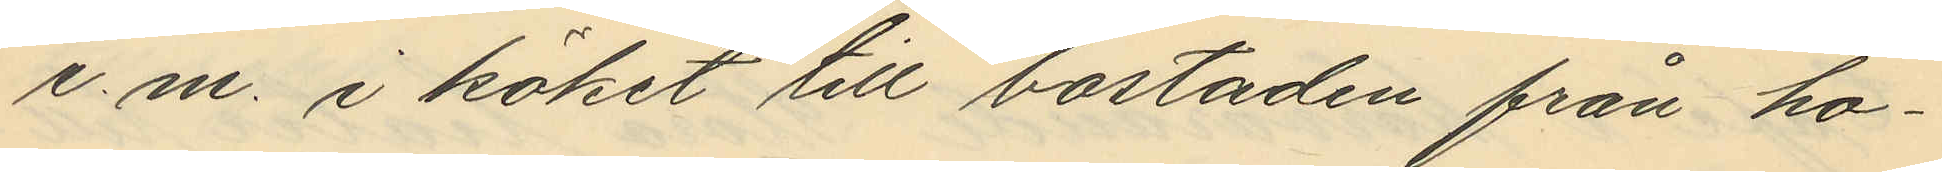e. m. i köket till bostaden från ho¬
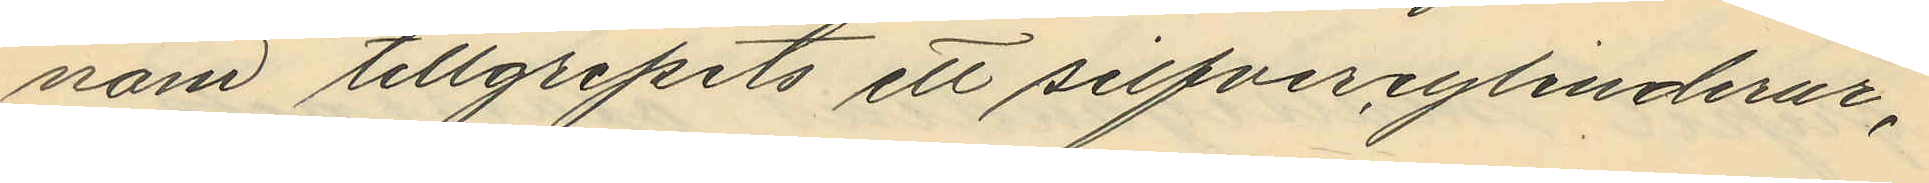nom tillgripits ett silfvercylinderur,
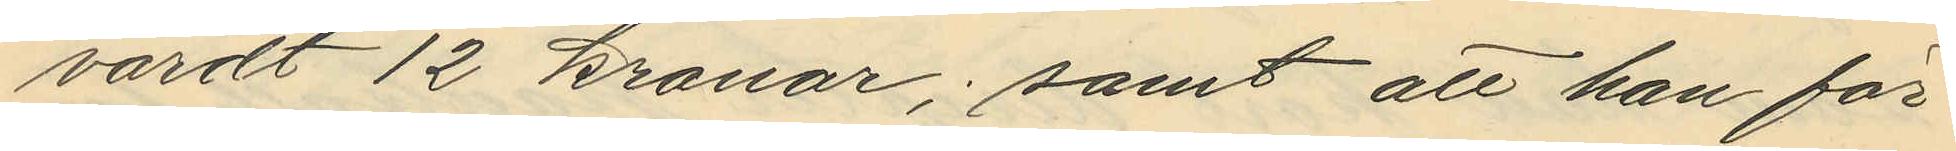värdt 12 kronor; samt att han för
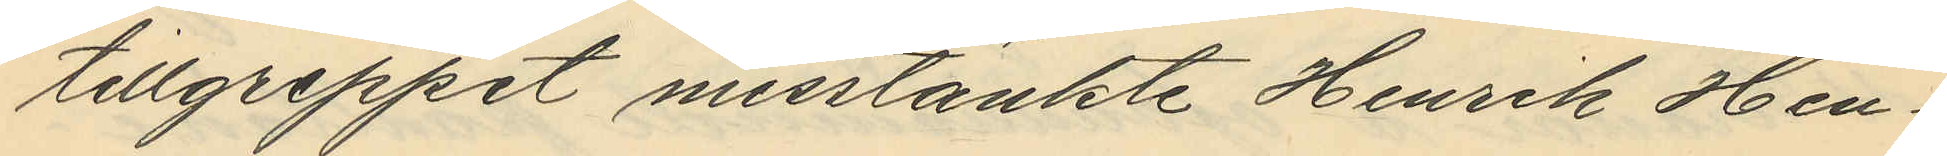tillgreppet misstänkte Henrik Hen¬
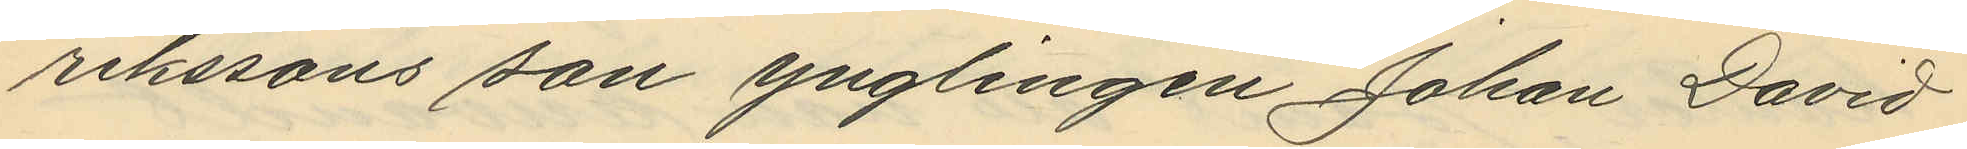rikssons son ynglingen Johan David
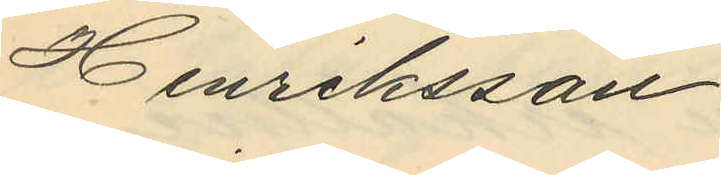Henriksson.
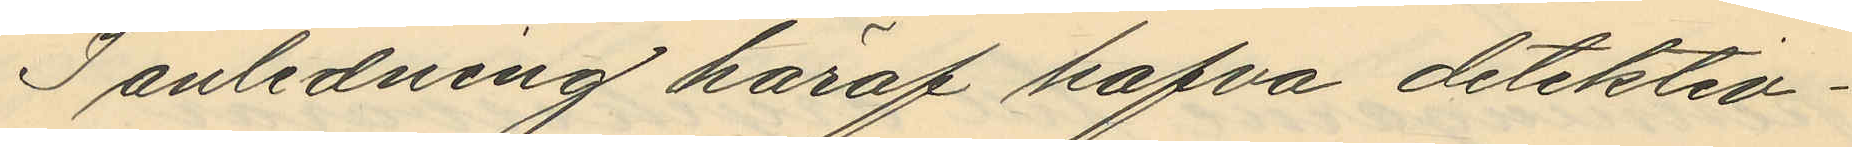I anledning häraf hafva detektiv¬
